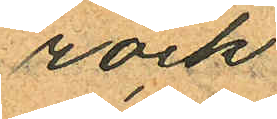rock
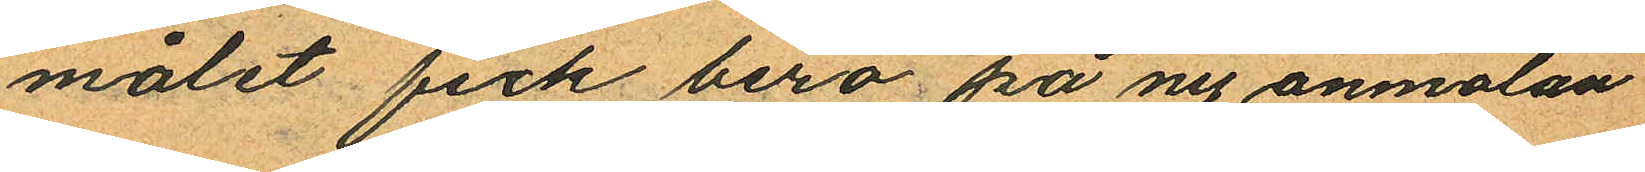målet fick bero på ny anmälan
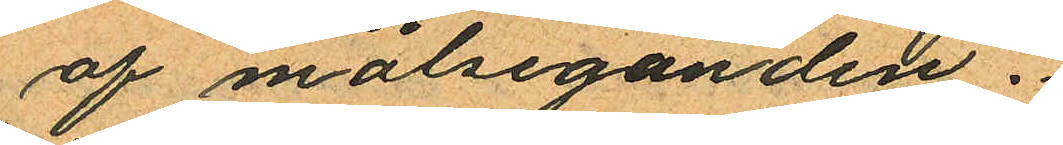af målseganden.
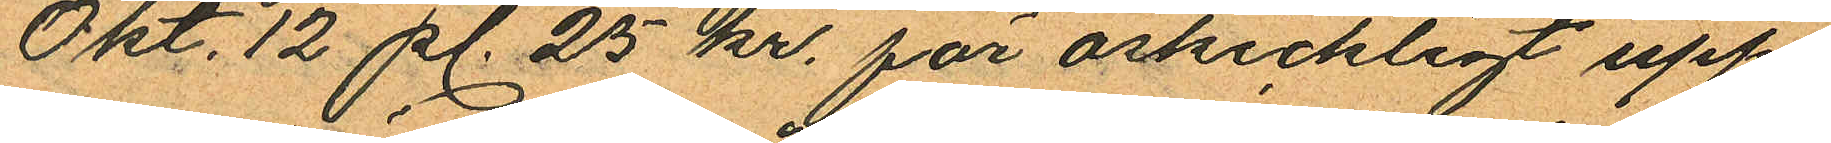Okt. 12 pl. 25 kr. för oskickligt upp¬
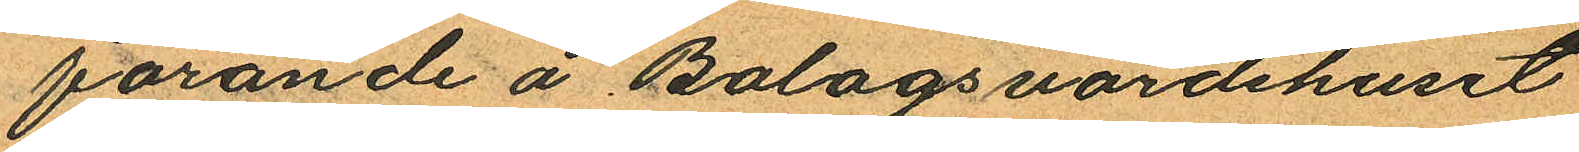förande å Bolagsvärdshuset
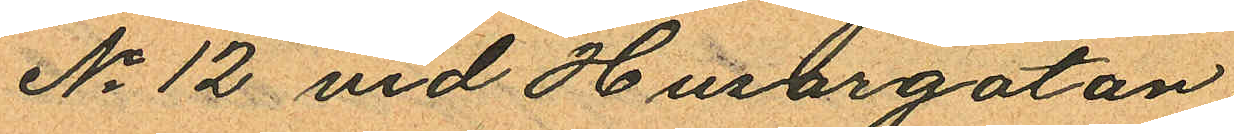No 12 vid Husargatan
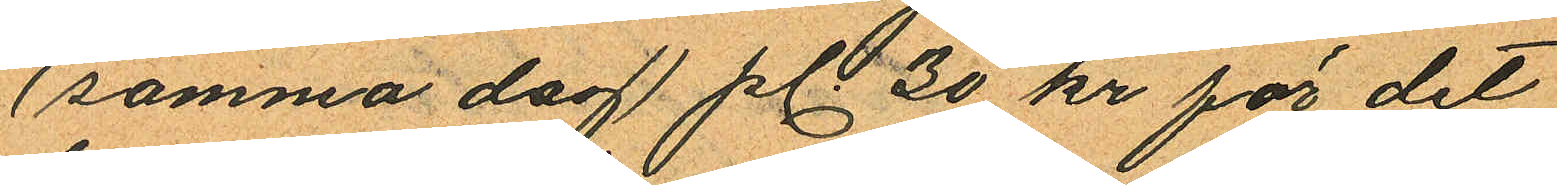(samma dag) pl 30 kr för det
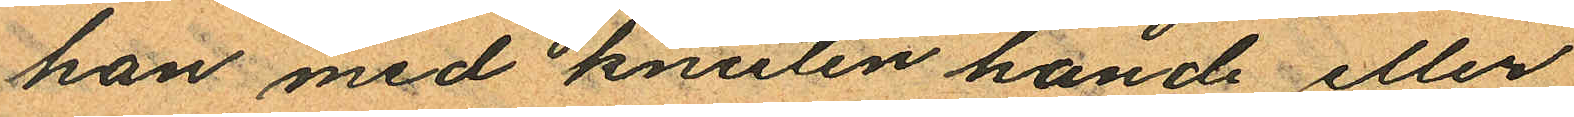han med knuten hand eller
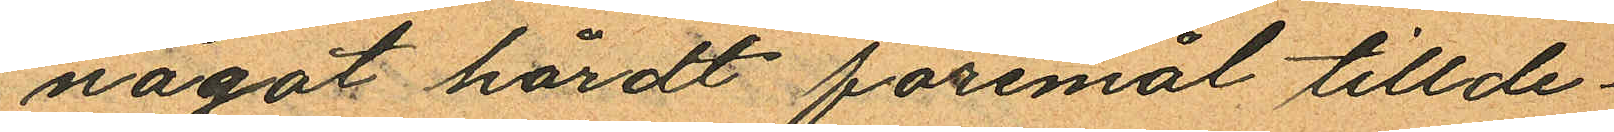något hårdt föremål tillde¬
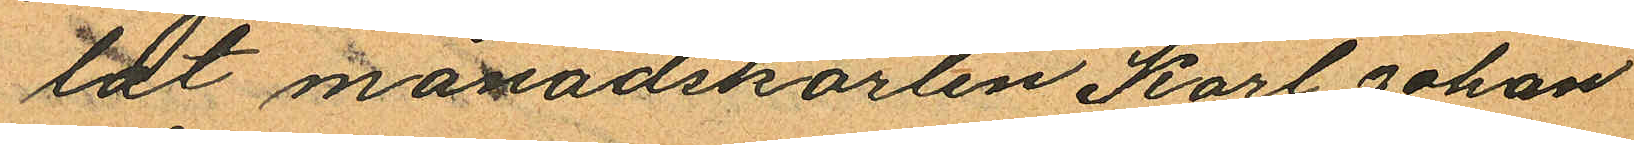tat månadskarlen Karl Johan
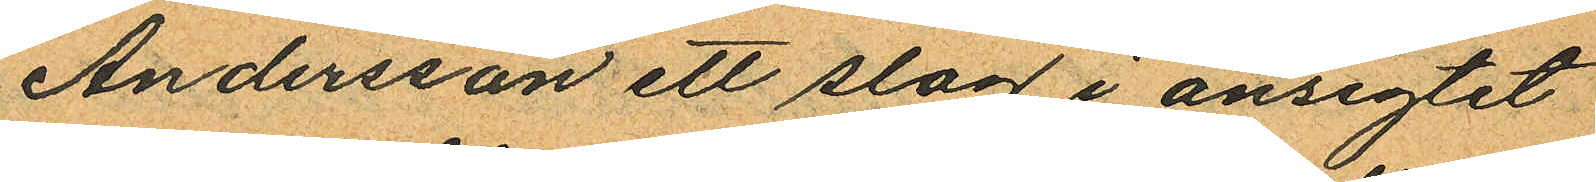Andersson ett slag i ansigtet
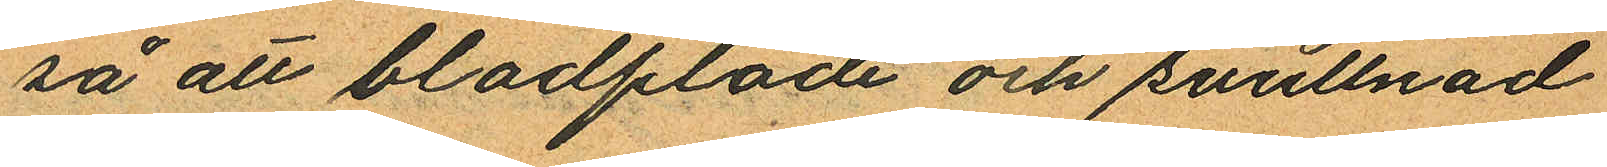så att blodflöde och svullnad
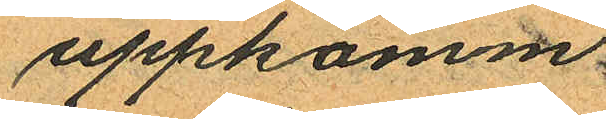uppkomm.
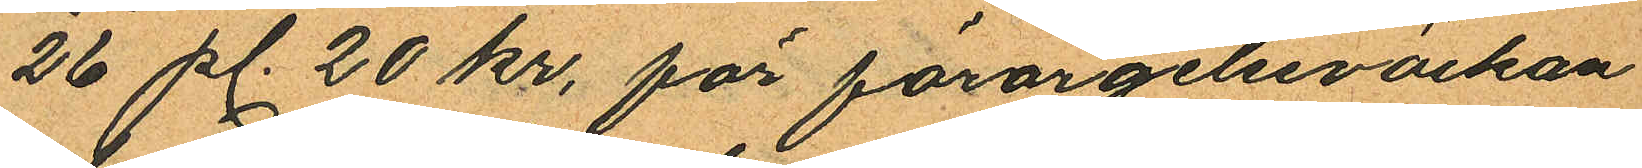26 pl. 20 kr, för förargelseväckan
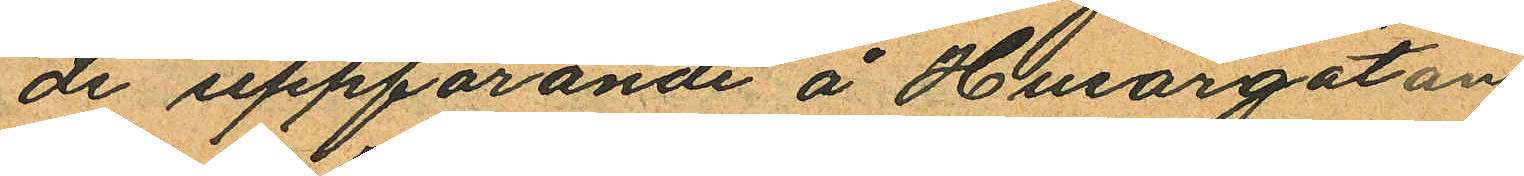de uppförande å Husargatan
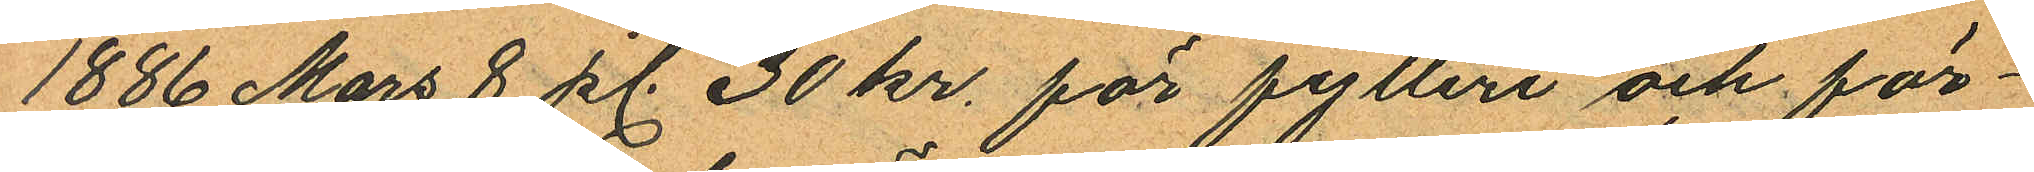1886 Mars 8 pl. 30 kr. för fylleri och för¬
